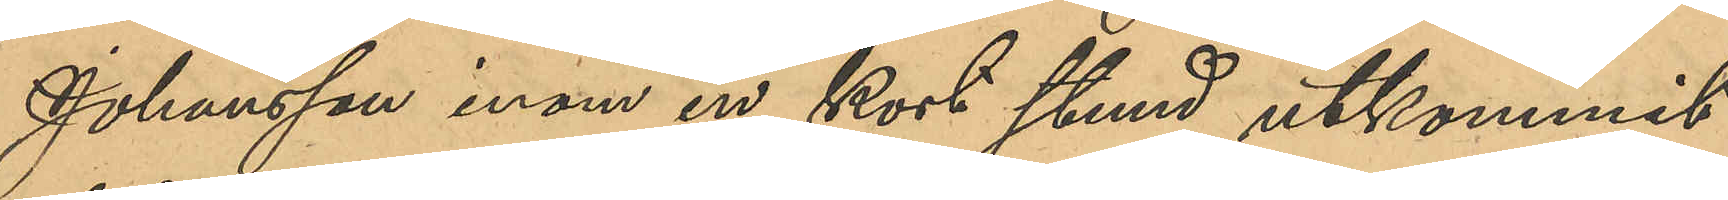Johansson inom en kort stund utkommit
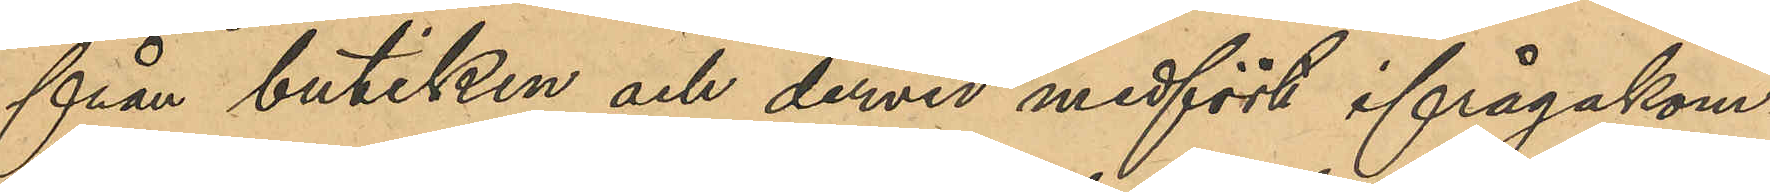från butiken och dervid medfört ifrågakom¬
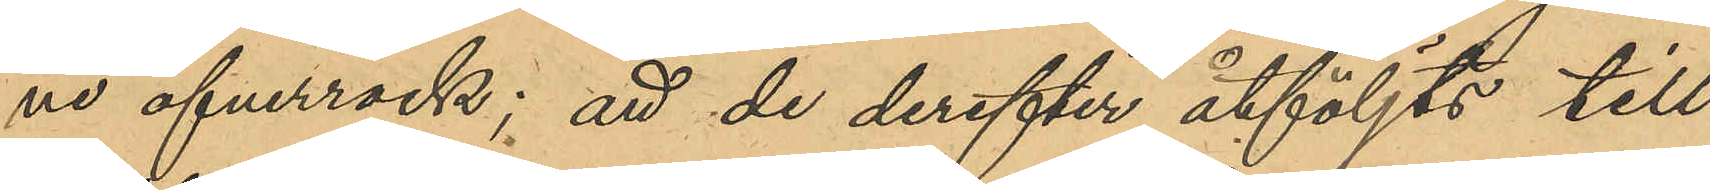ne öfverrock; att de derefter åtföljts till
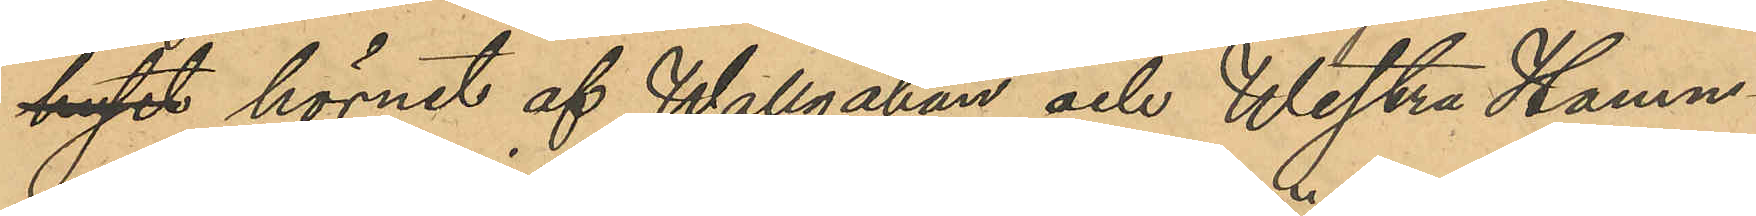huset hörnet af Wallgatan och Westra Hamn¬
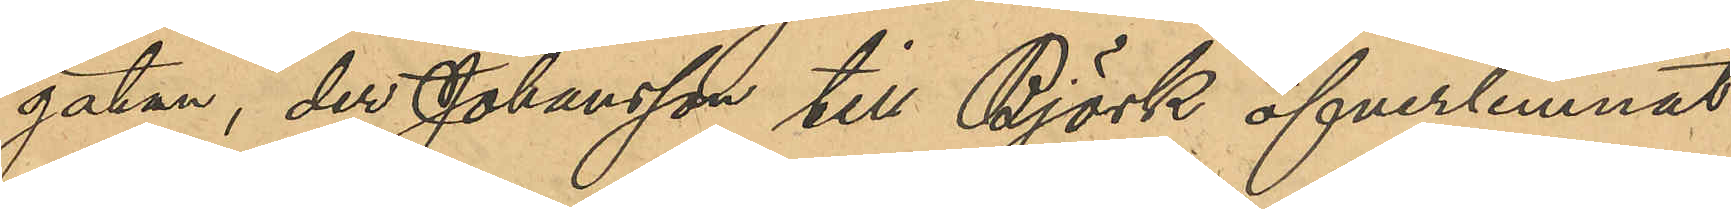gatan, der Johansson till Björk öfverlemnat
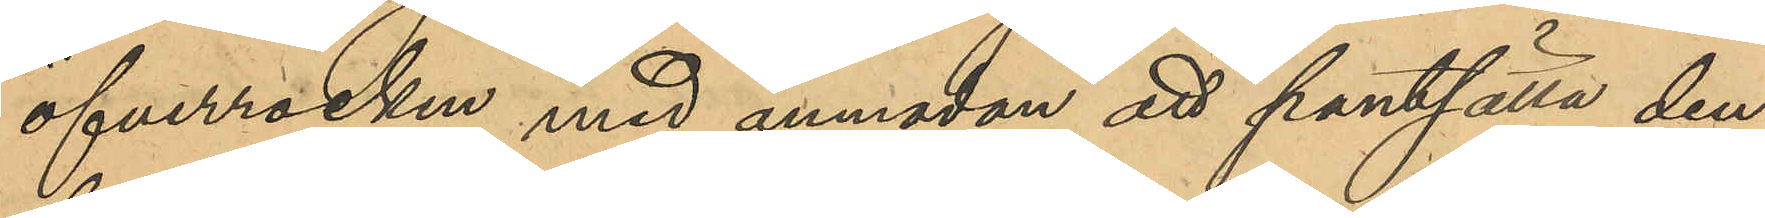öfverrocken med anmodan att pantsätta den¬
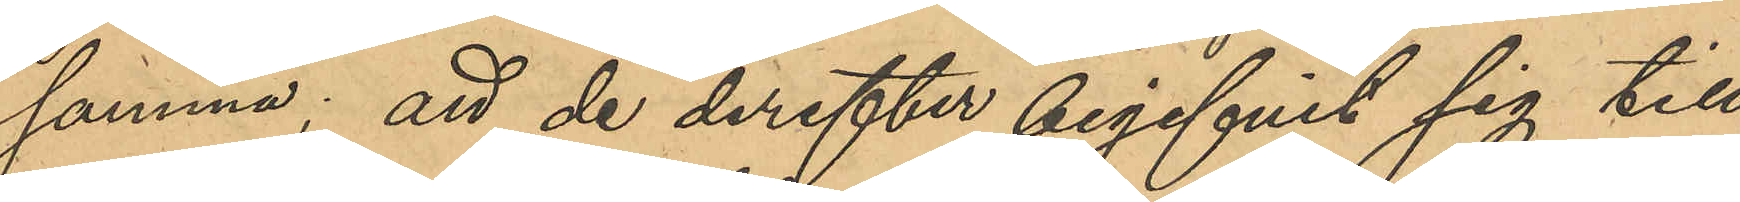samma; att de derefter begifvit sig till
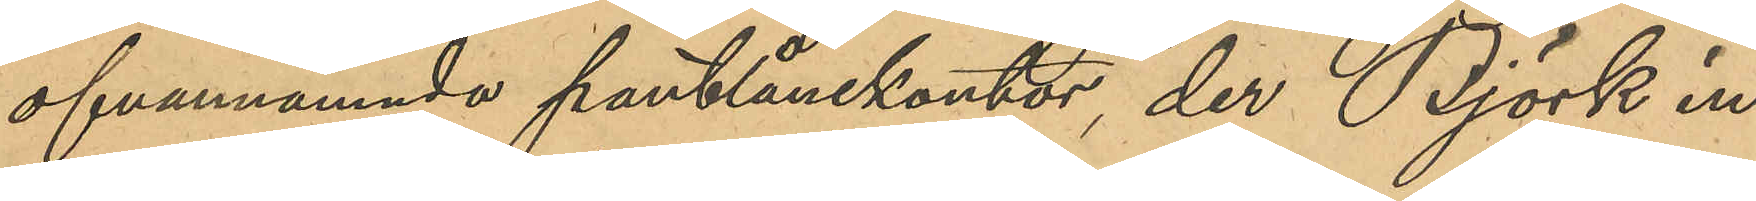ofvannämnde pantlånekontor, der Björk in¬
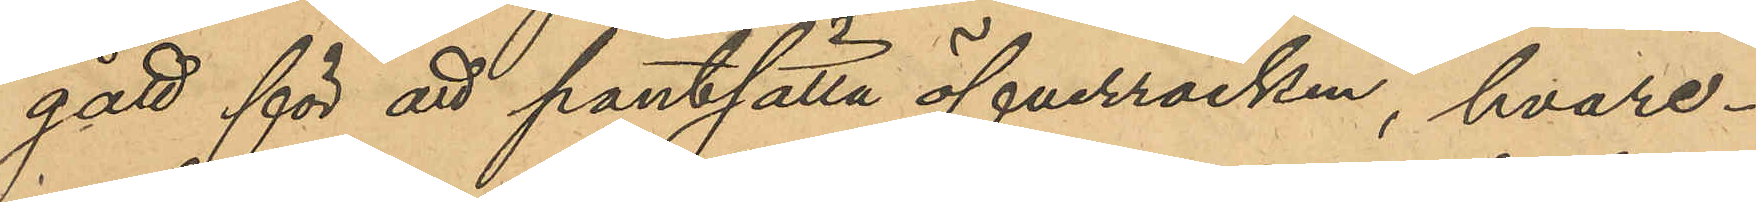gått för att pantsätta öfverrocken, hvare¬
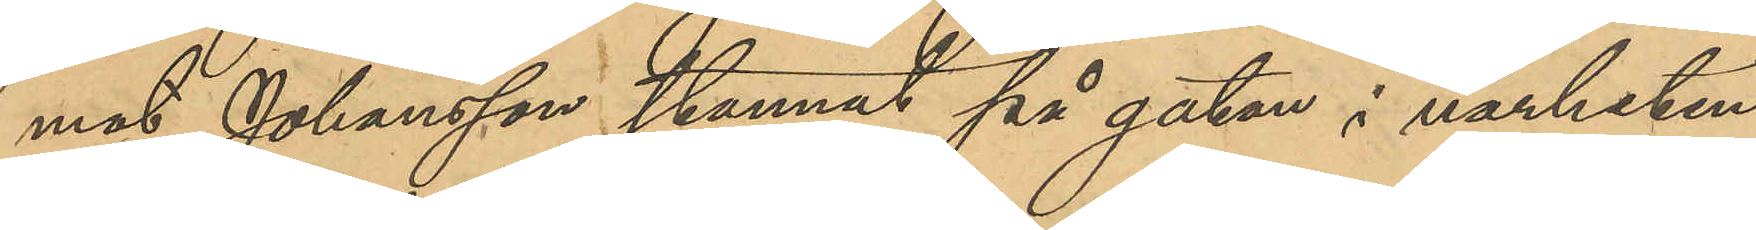mot Johansson stannat på gatan i närheten
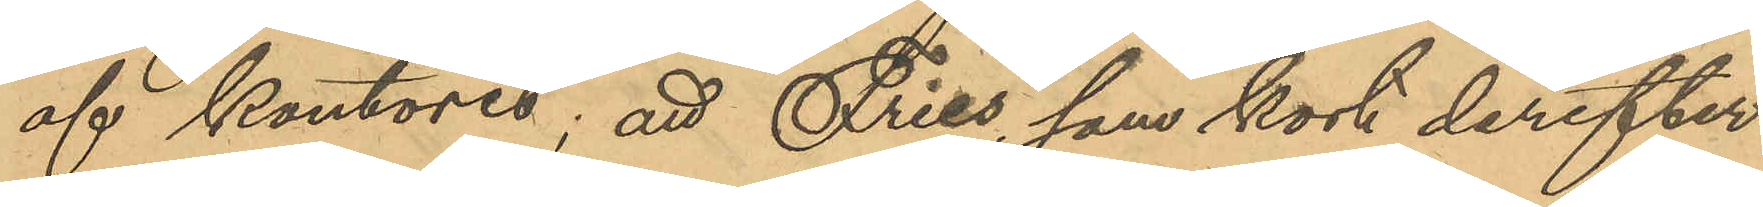af kontoret; att Fries, som kort derefter
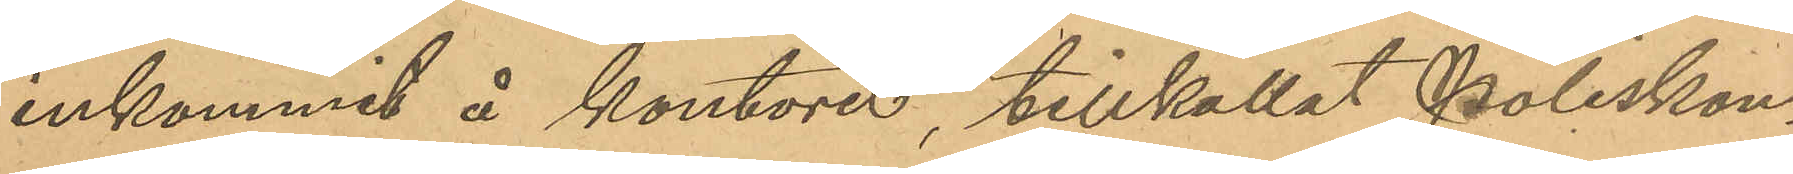inkommit å kontoret, tillkallat Poliskon¬
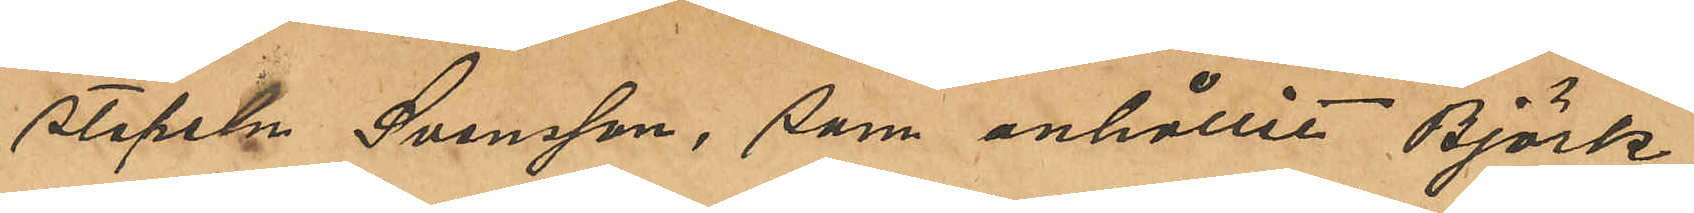stapeln Svensson, som anhållit Björk,
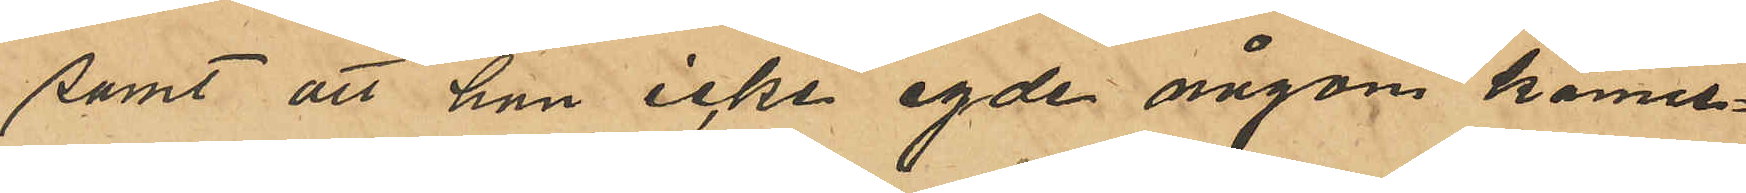samt att han icke egde någon känne¬
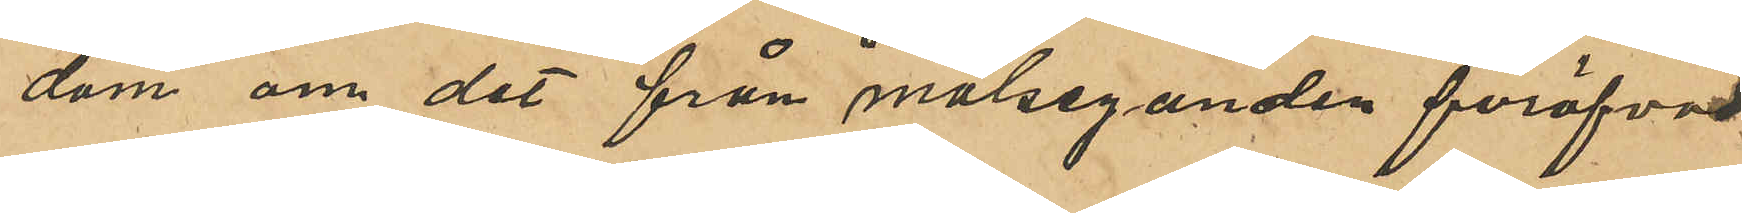dom om det från målseganden föröfvade
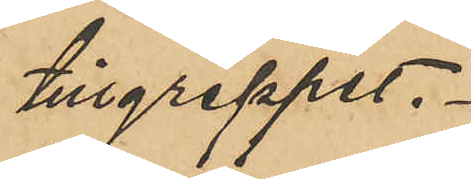tillgreppet.
